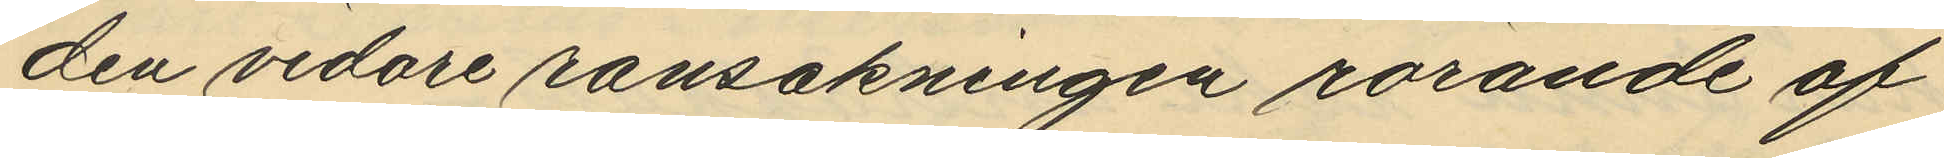den vidare ransakningen rörande af
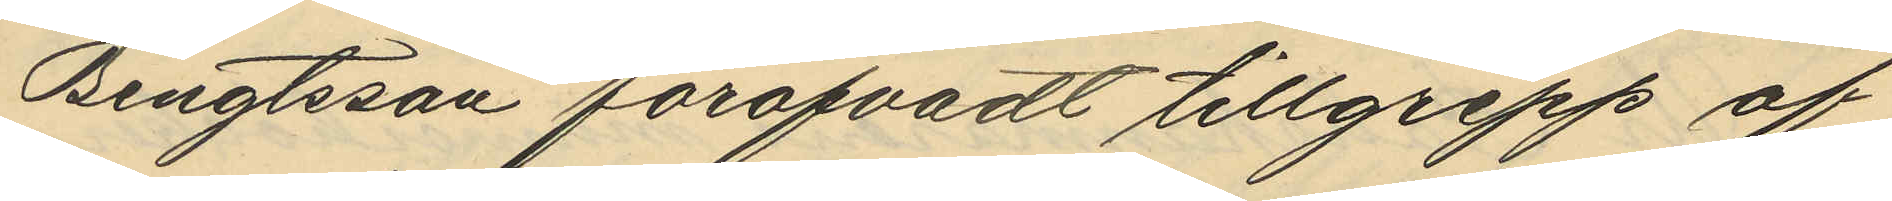Bengtsson föröfvadt tillgrepp af
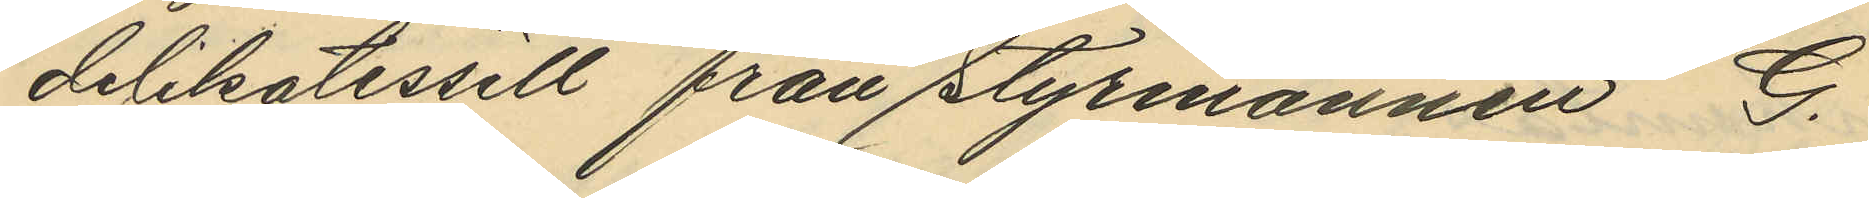delikatessell från styrmannen G.
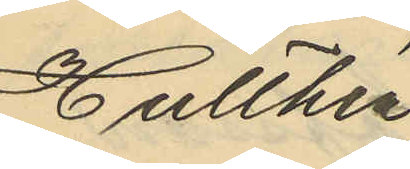Hulthén,
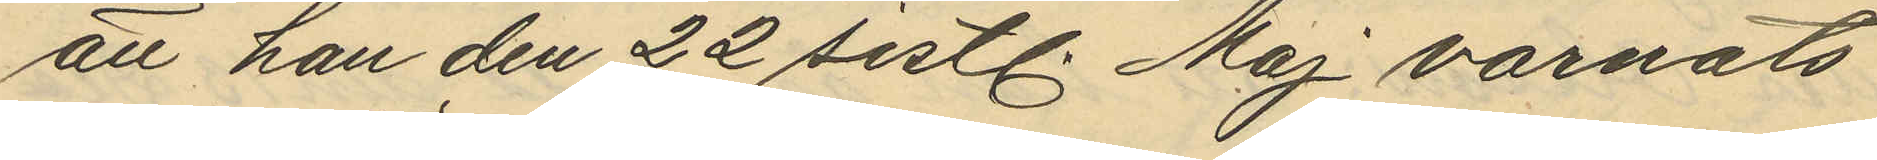att han den 22 sistl. Maj varnats
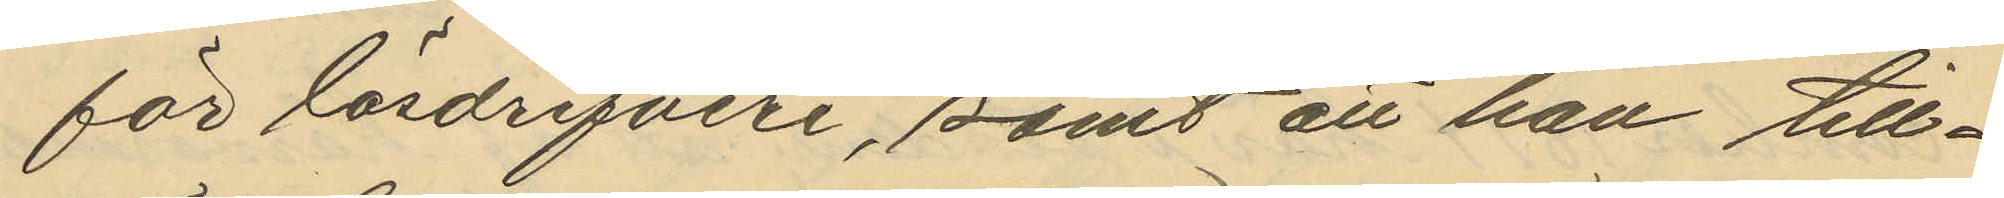för lösdrifveri, samt att han till¬
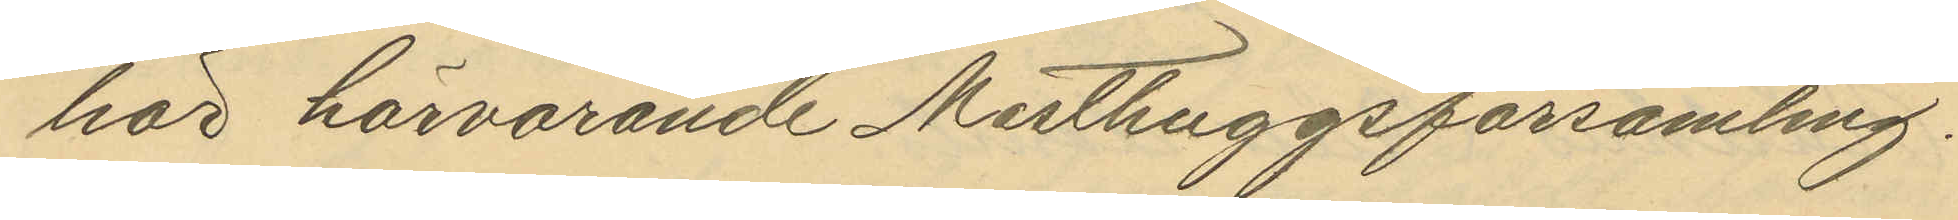hör härvarande Misthuggsförsamling.
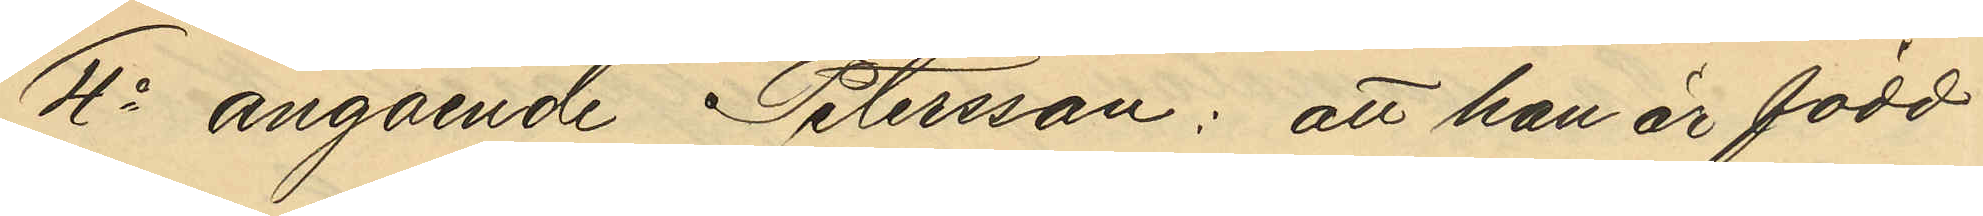4o angående Petersson: att han är född
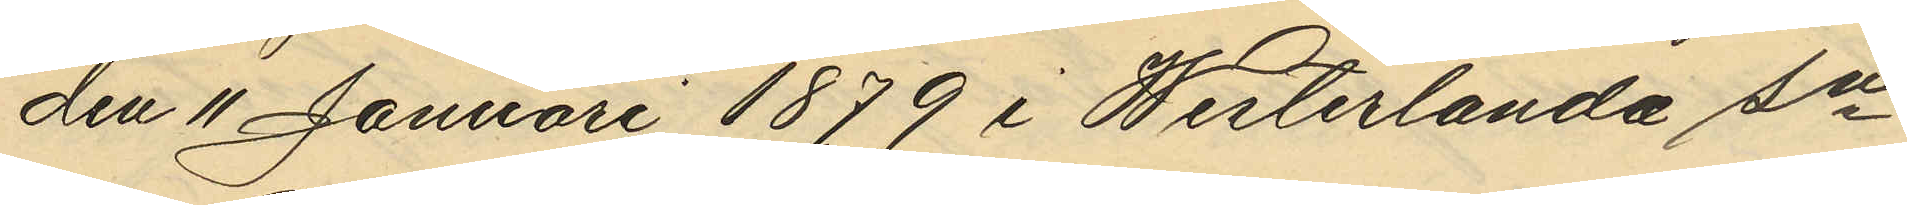den 11 Januari 1879 i Westerlanda Sn
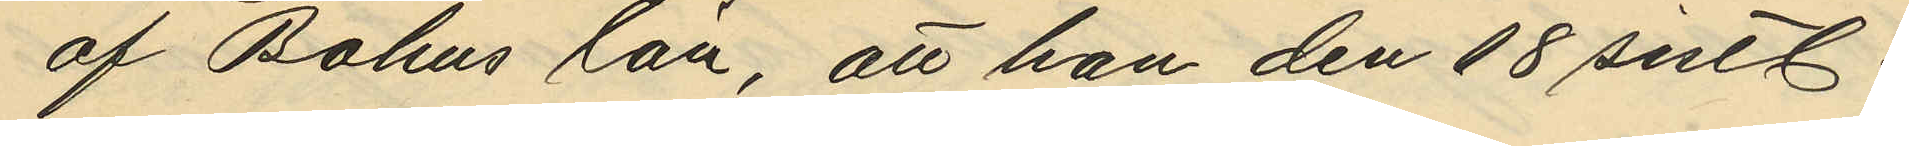af Bohus län, att han den 18 sistl.
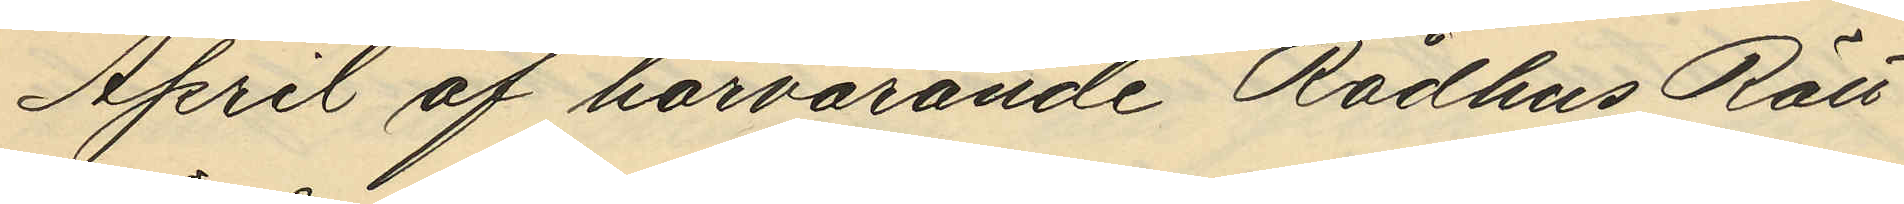April af härvarande Rådhus Rätt
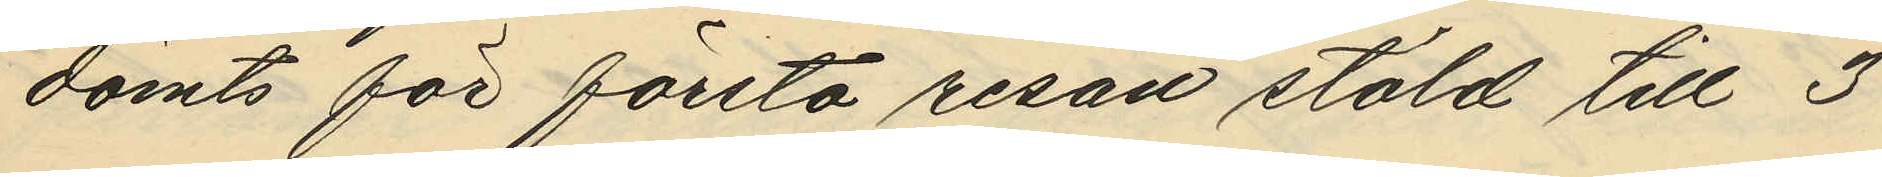dömts för första resan stöld till 3
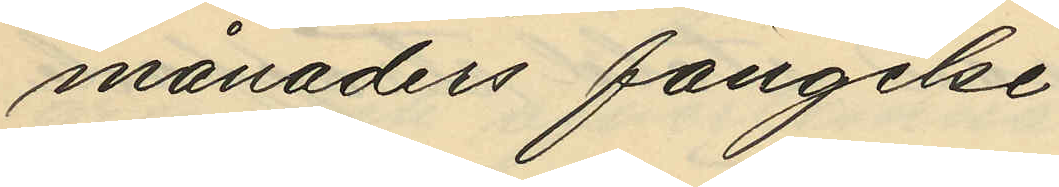månaders fängelse,
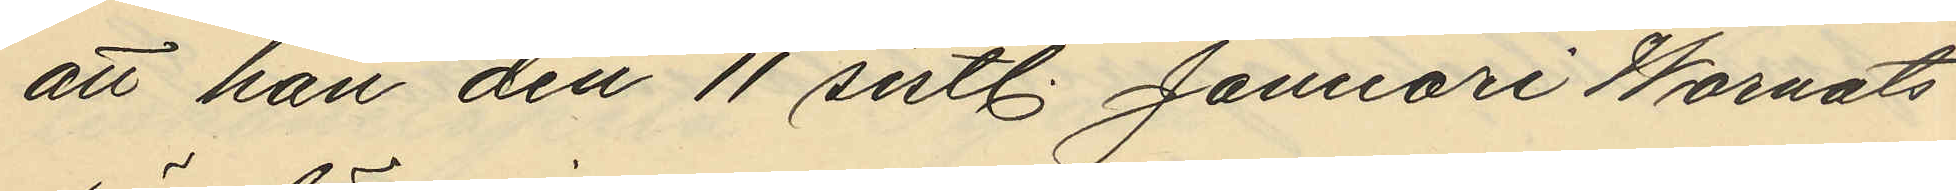att han den 11 sistl. Januari Warnats
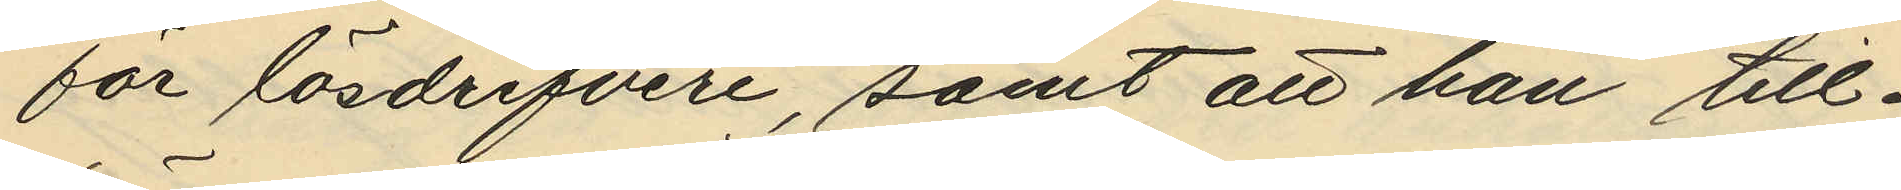för lösdrifveri, samt att han till¬
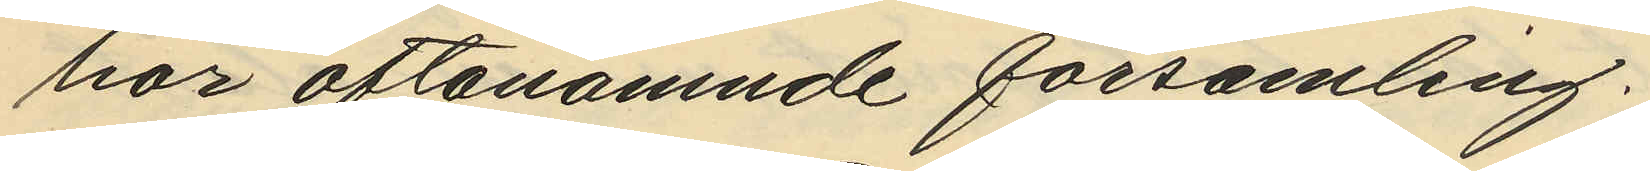hör oftanämnde församling.
